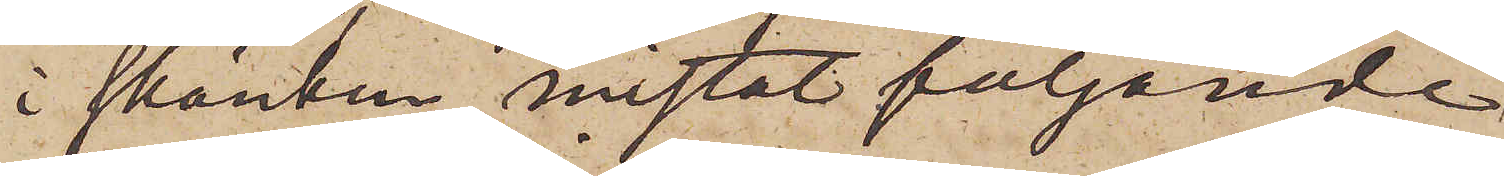i skänken, mistat följande
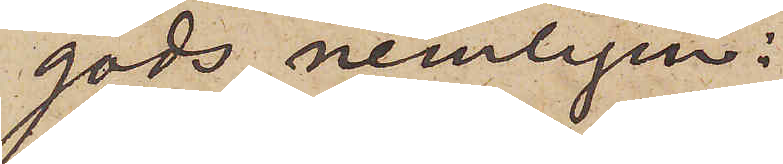gods, nemligen:
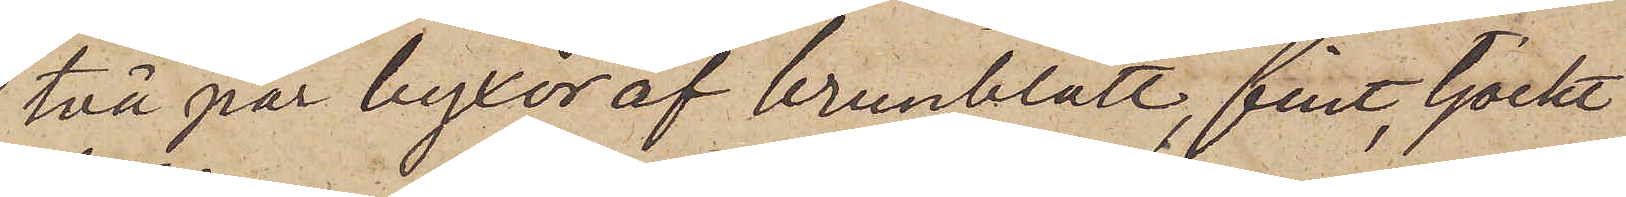två par byxor af brunblått, fint, tjockt
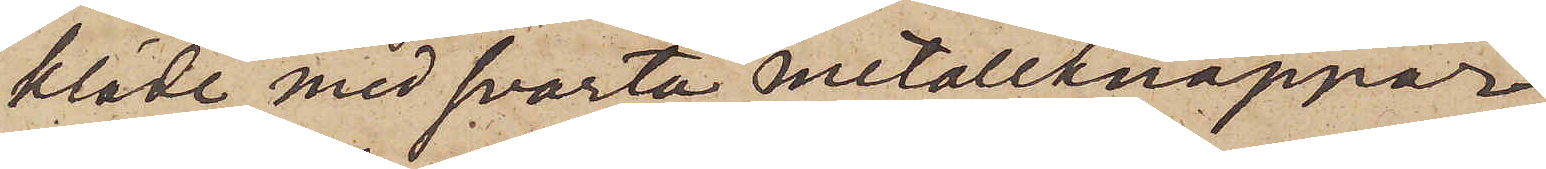kläde med svarta metallknappar
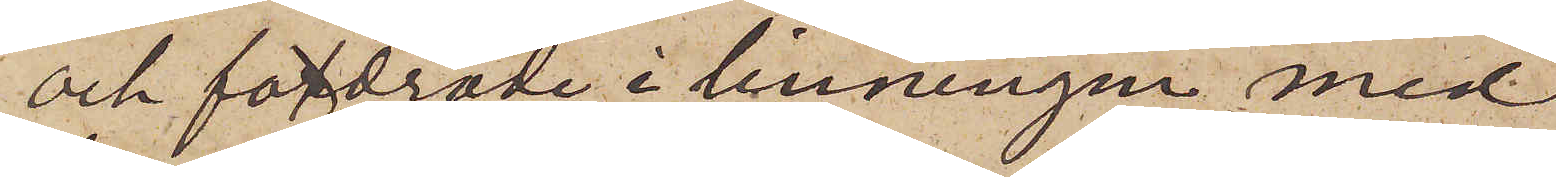och fordrade i linningen med
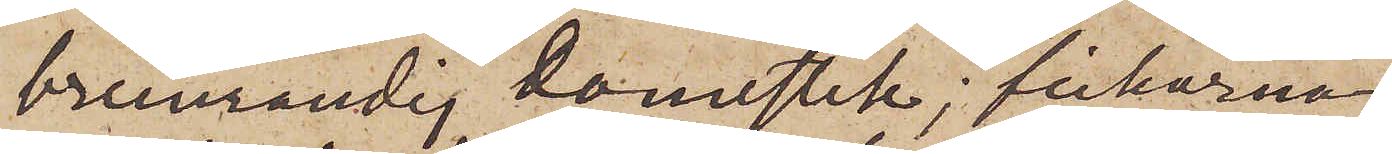brunrandig domestik; fickorna
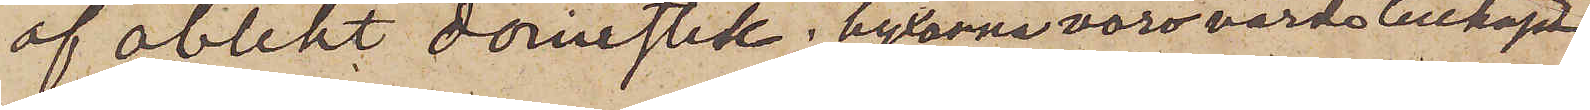af oblekt domestik, byxorna voro värda tillhopa
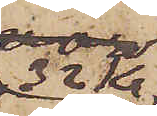32 Kr,
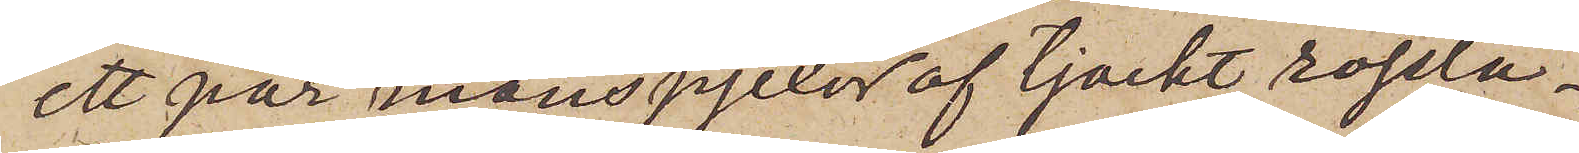ett par manspjexor af tjockt rosslä¬
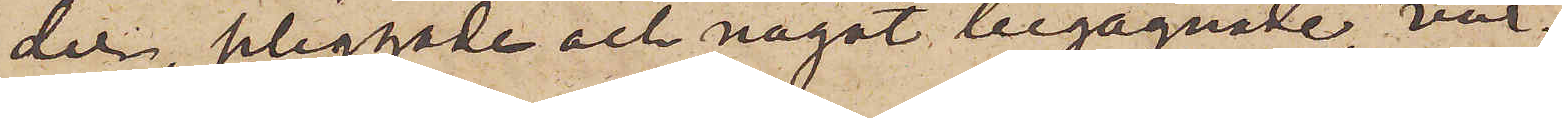der, pliggade och något begagnade, vär¬
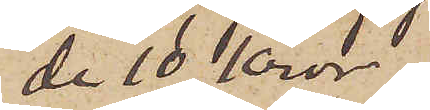de 10 Kronor;
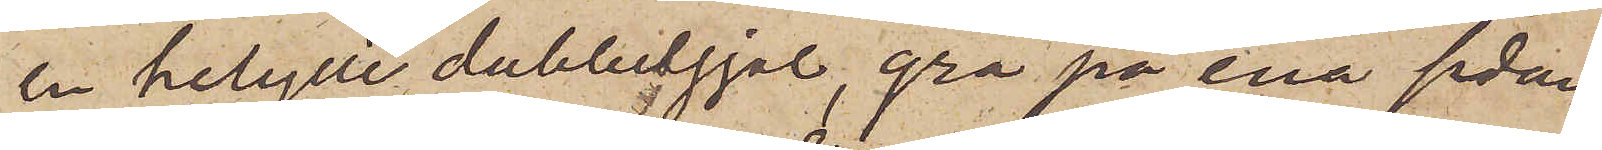en helylle dubbelsjal, grå på ena sidan
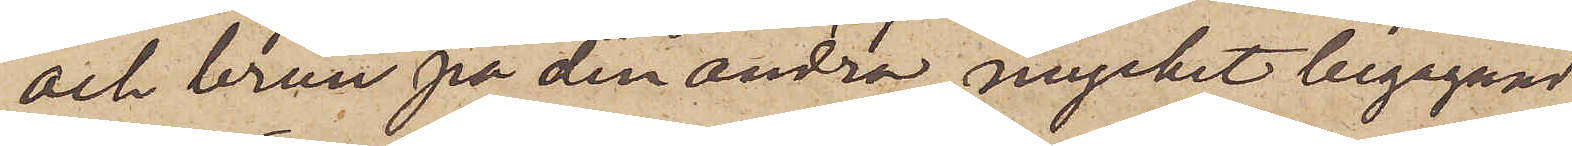och brun på den andra, mycket begagnad
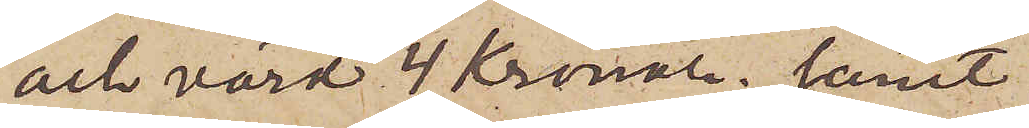och värd 4 Kronor; samt
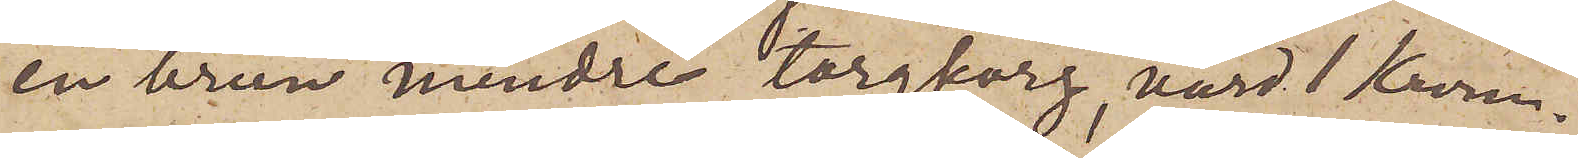en brun mindre torgkorg, värd 1 Krona.
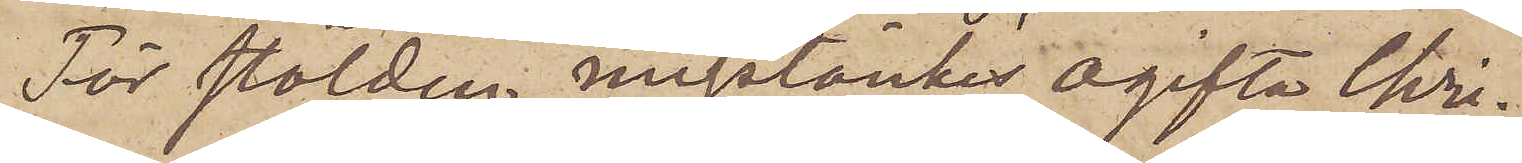För stölden misstänkes ogifta Chri¬
